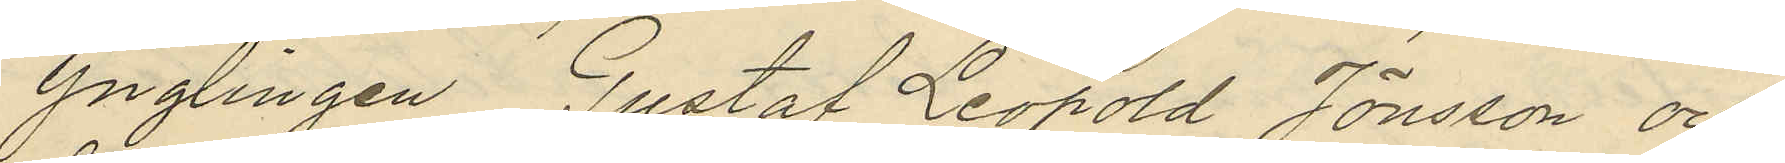ynglingen Gustaf Leopold Jönsson och
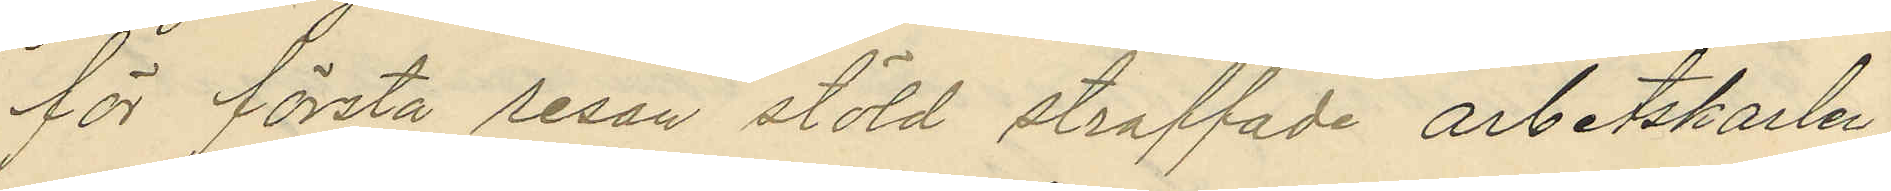för första resan stöld straffade arbetskarlen
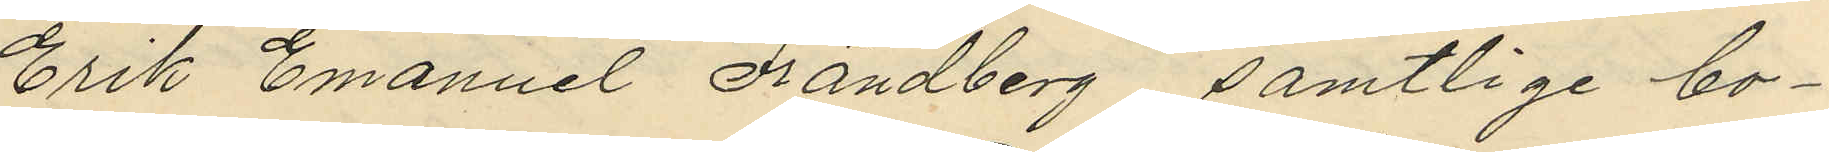Erik Emanuel Frändberg, samtlige bo¬
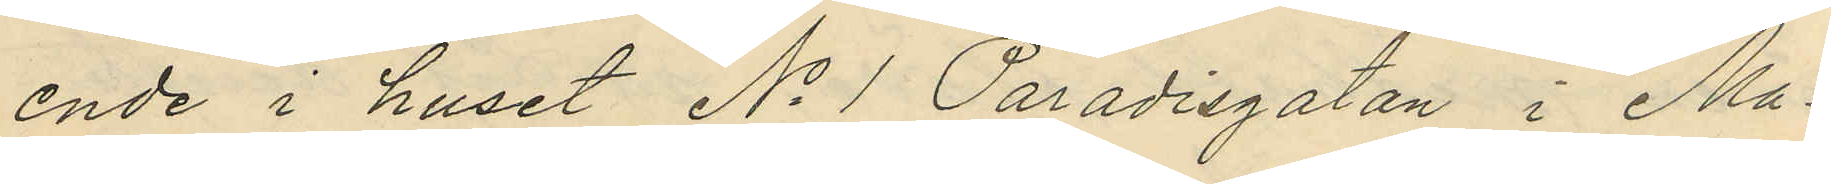ende i huset No 1 Paradisgatan i Ma¬
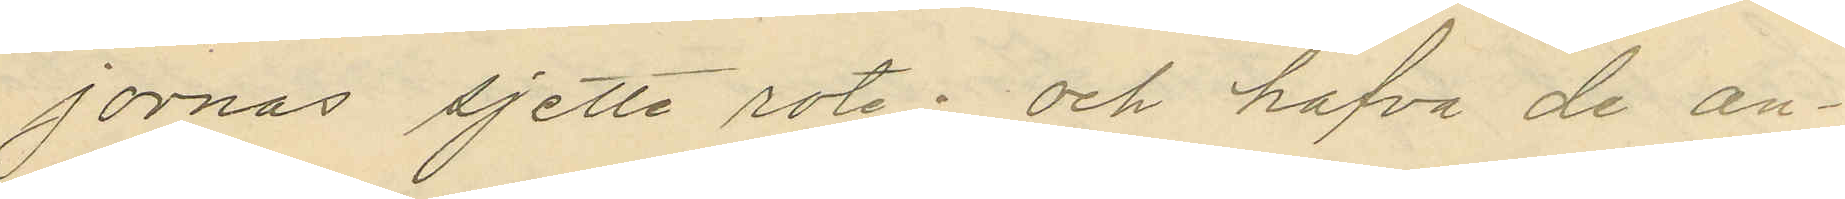jornas sjette rote; och hafva de an¬
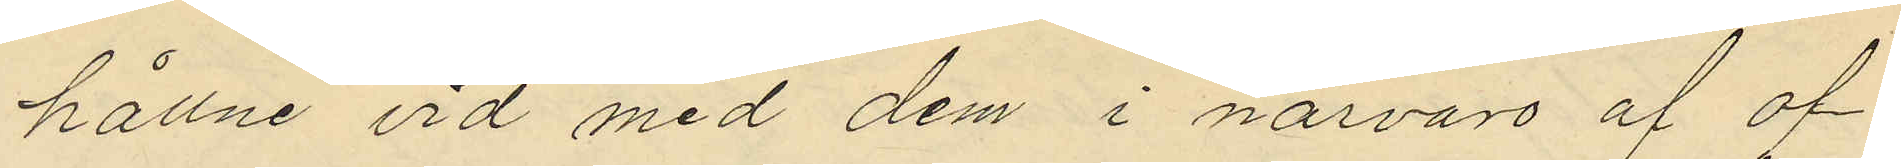hållne vid med dem i närvaro af of¬
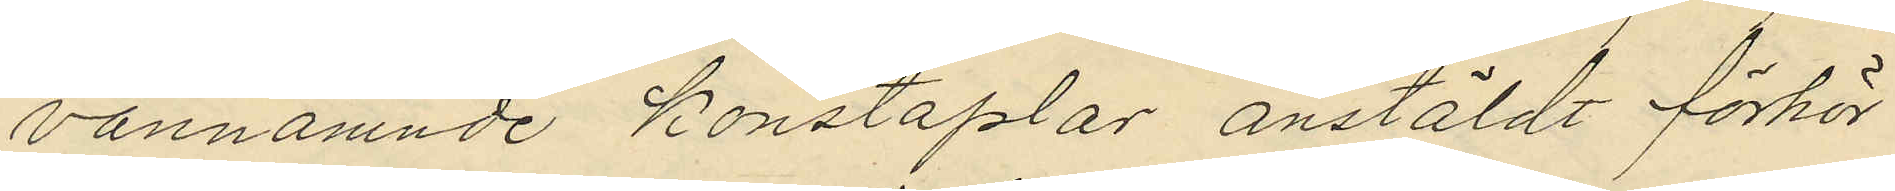vannämnde konstaplar anstäldt förhör
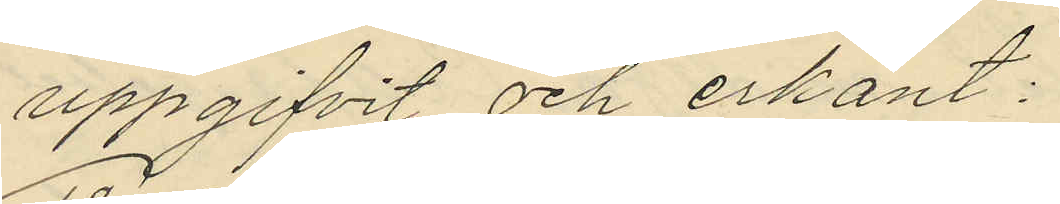uppgifvit och erkänt:
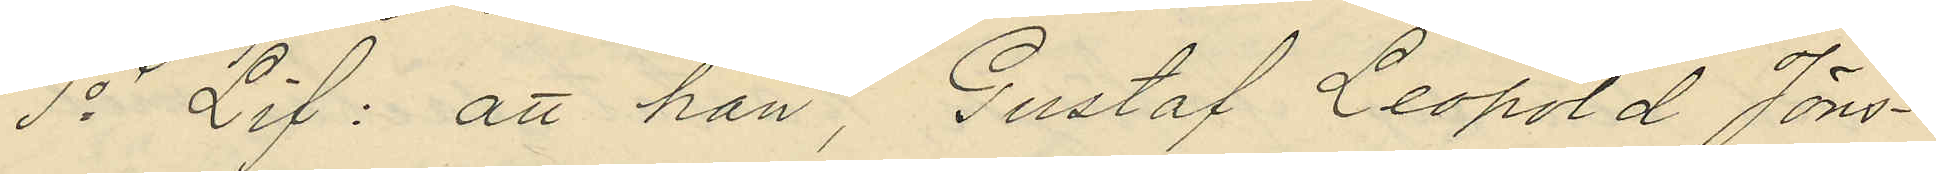1o Lif: att han, Gustaf Leopold Jöns¬
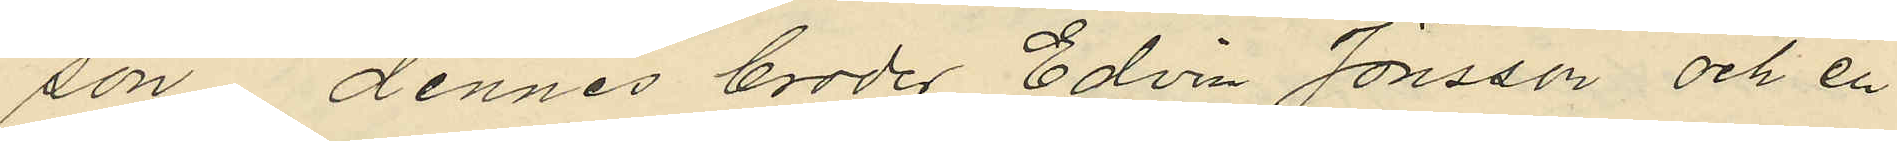son, dennes broder Edvin Jönsson och en
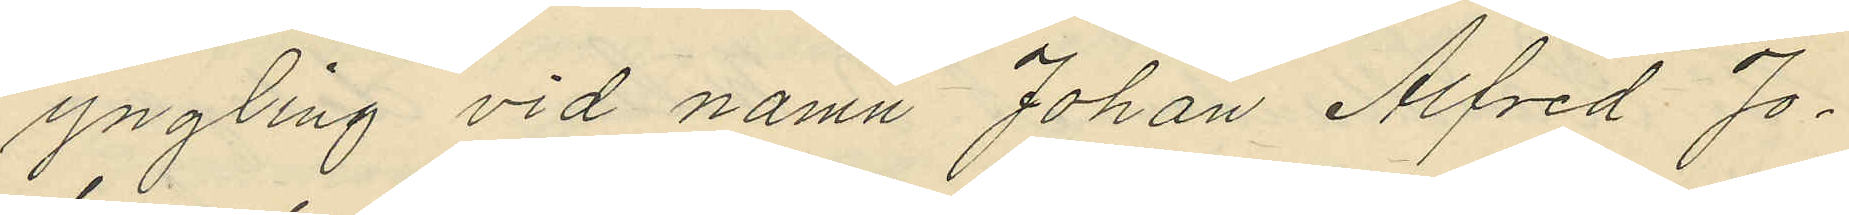yngling vid namn Johan Alfred Jo¬
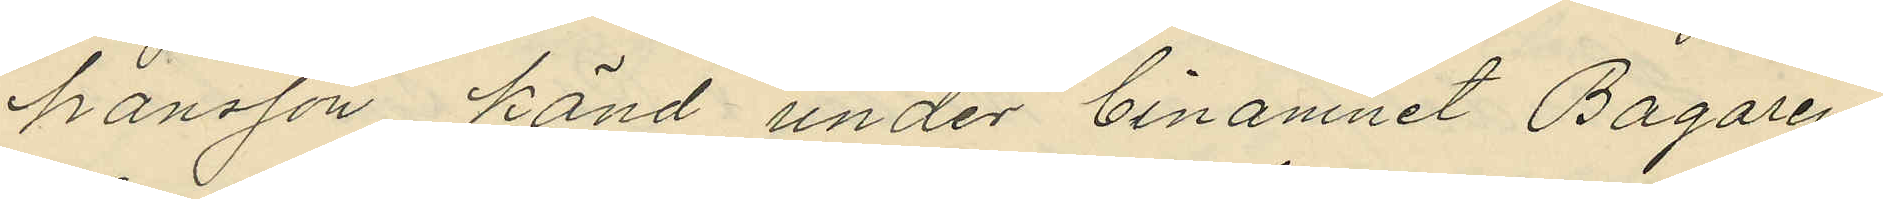hansson, känd under binamnet Bagaren
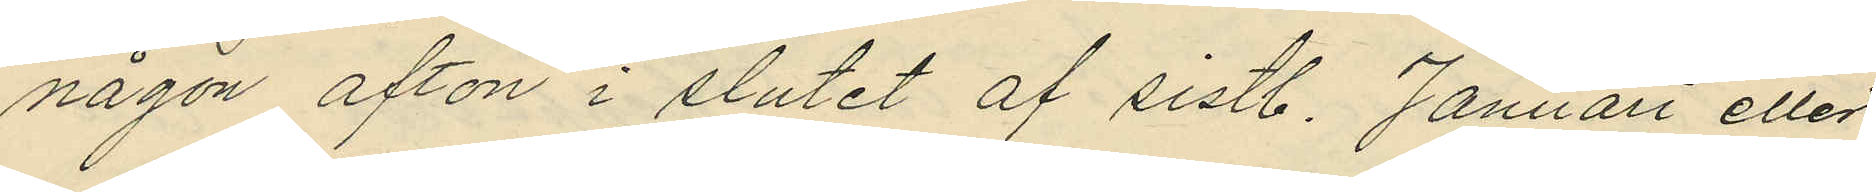någon afton i slutet af sistl. Januari eller
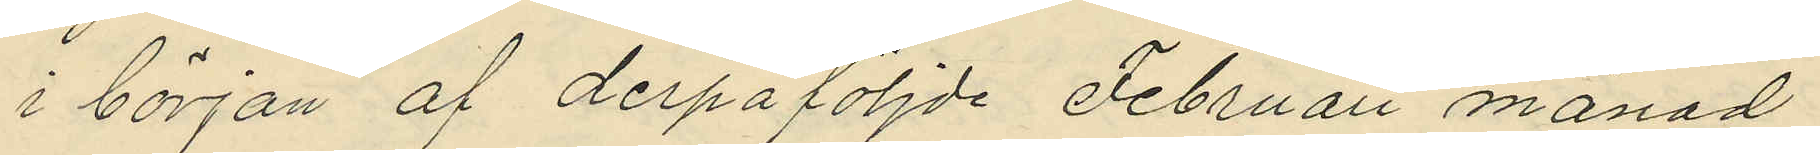i början af derpåföljde Februari månad
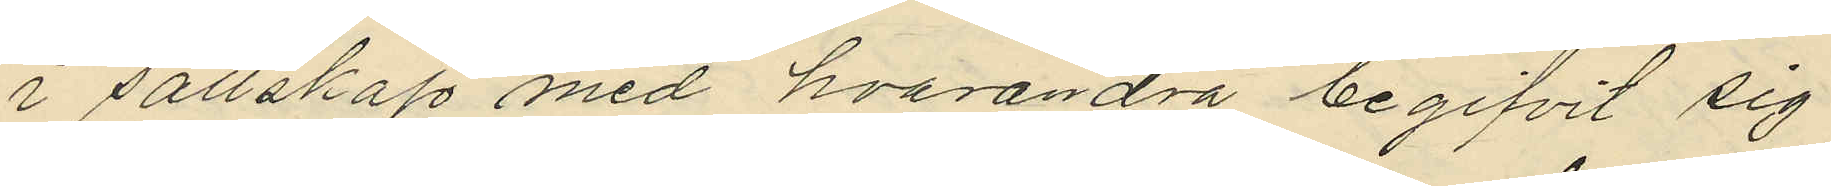i sällskap med hvarandra begifvit sig
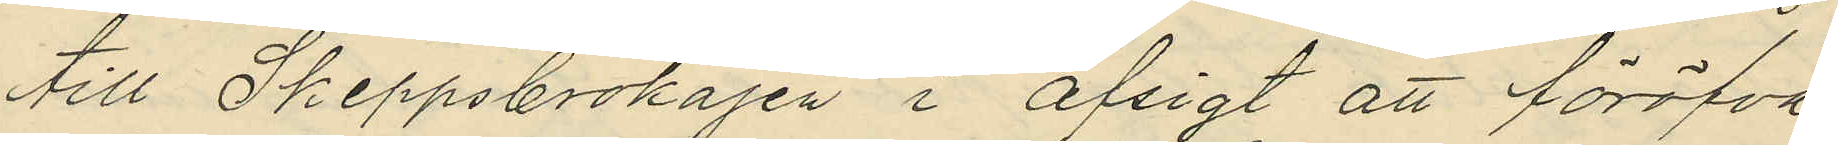till Skeppsbrokajen i afsigt att föröfva
